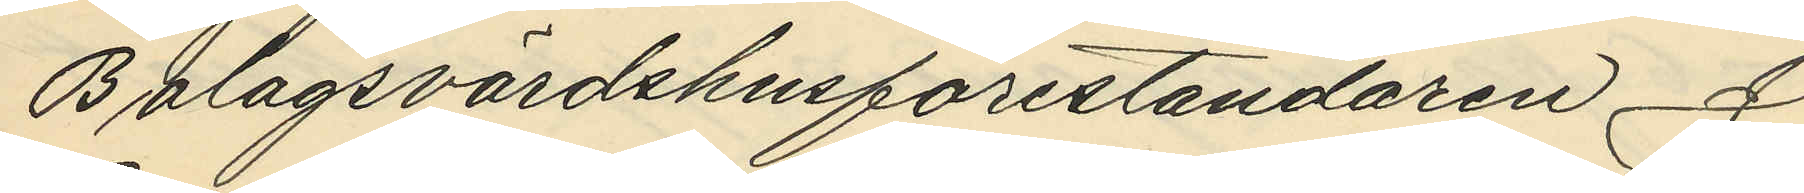Bolagsvärdshusföreståndaren J.
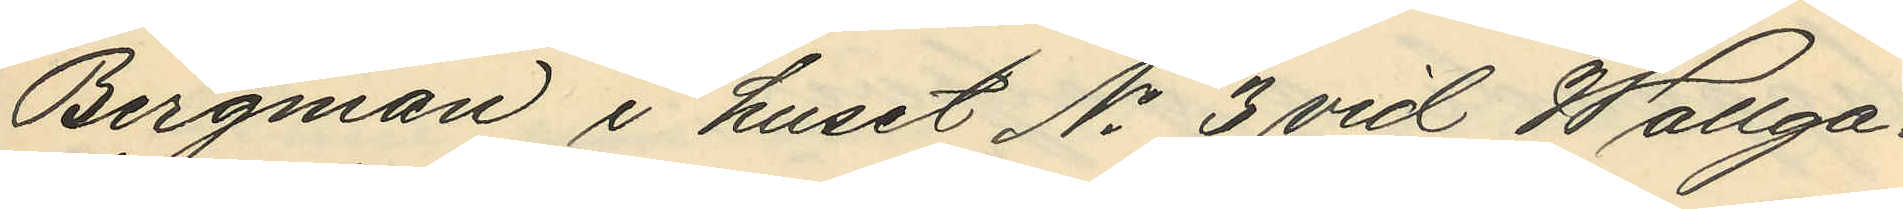Bergman i huset No 3 vid Wallga¬
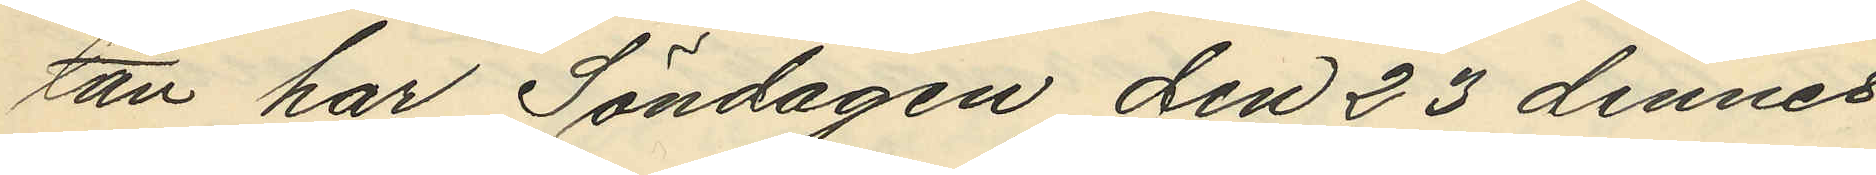tan har Söndagen den 23 dennes
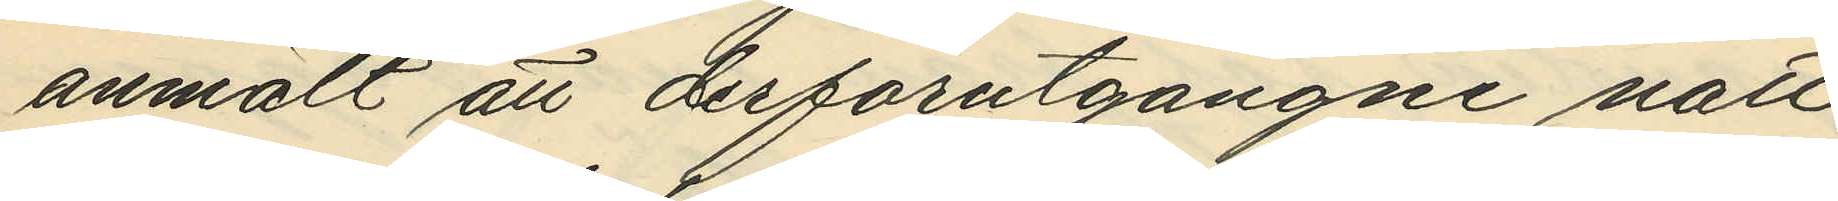anmält att derförutgångne natt
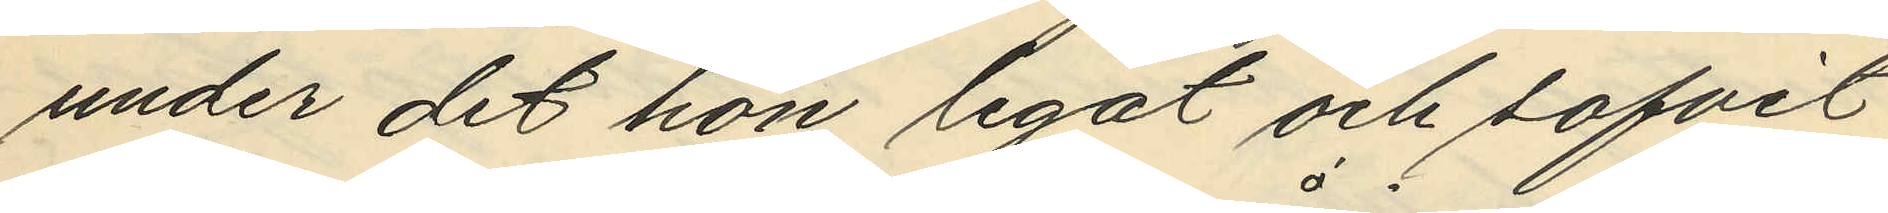under det hon legat och sofvit
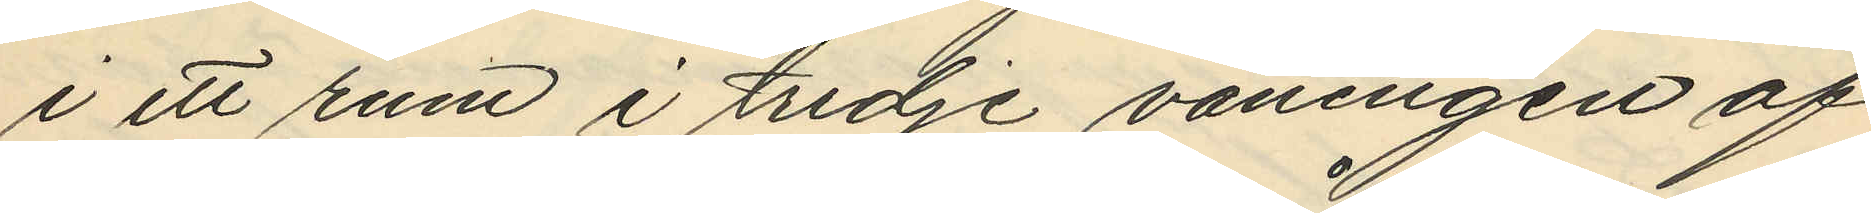i ett rum i tredje våningen af
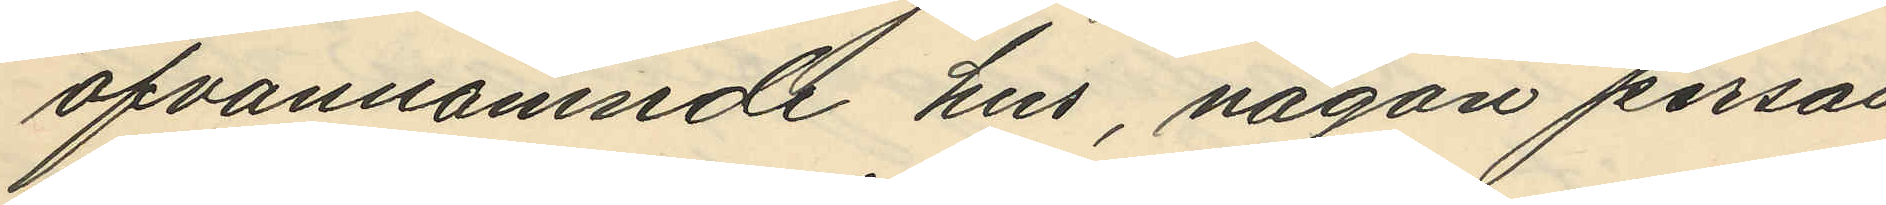ofvannämnde hus, någon person
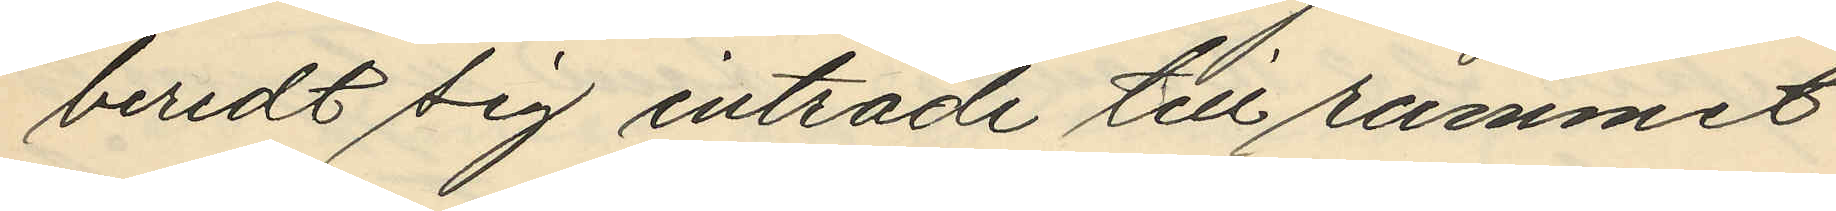beredt sig inträde till rummet
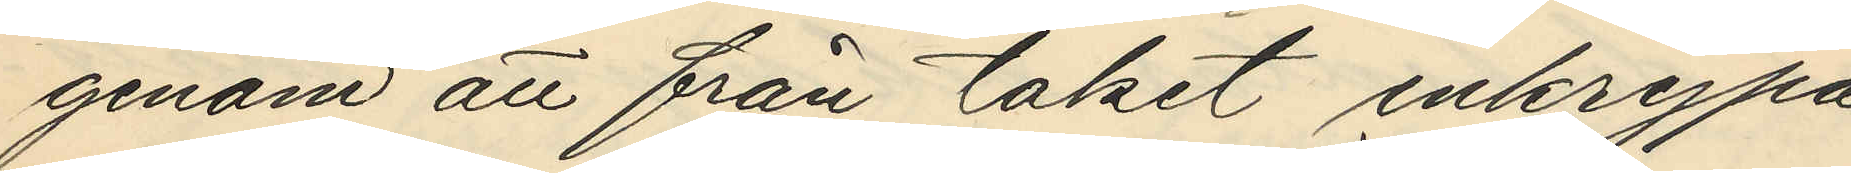genom att från taket inkrypa
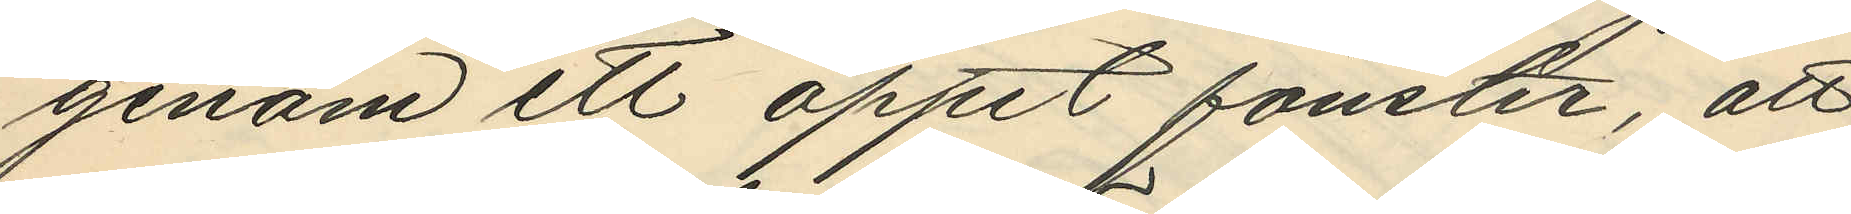genom ett öppet fönster, att
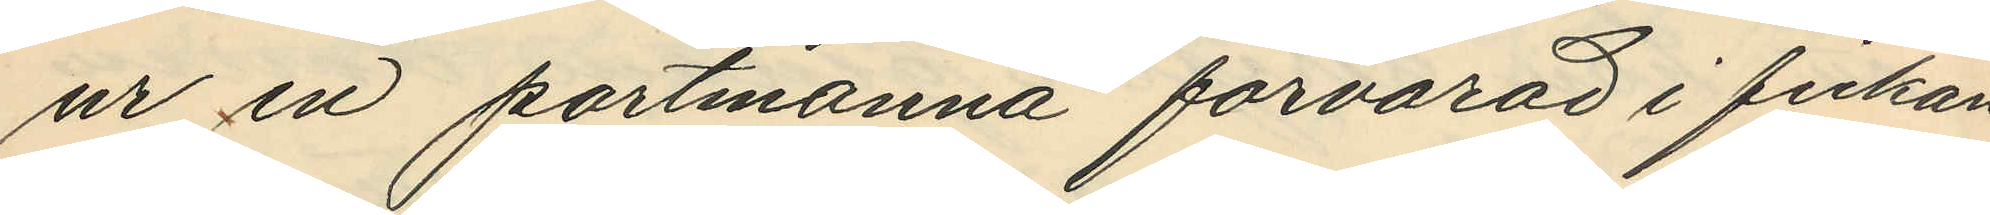ur en portmonnä forvarad i fickan
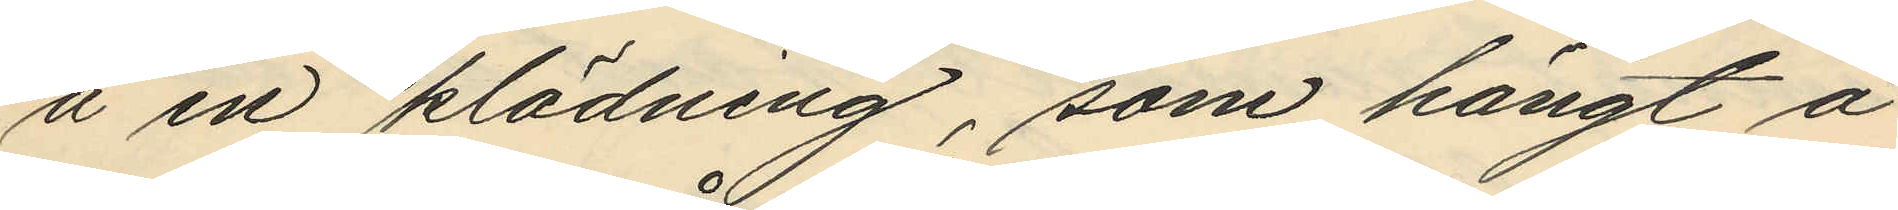å en klädning, som hängt å
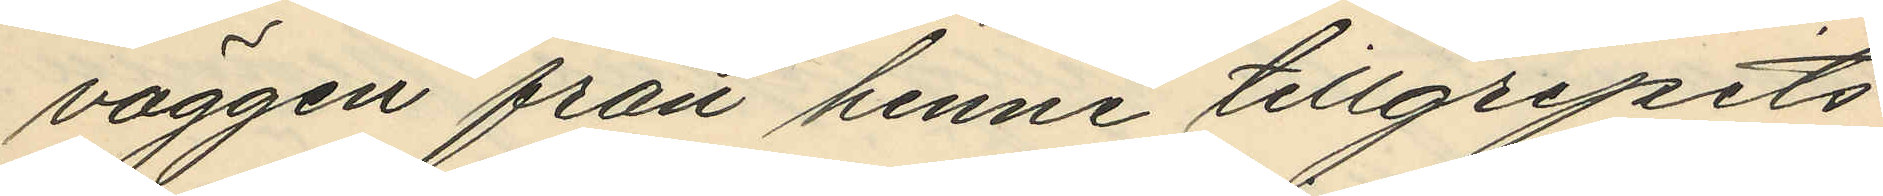väggen från henne tillgripits
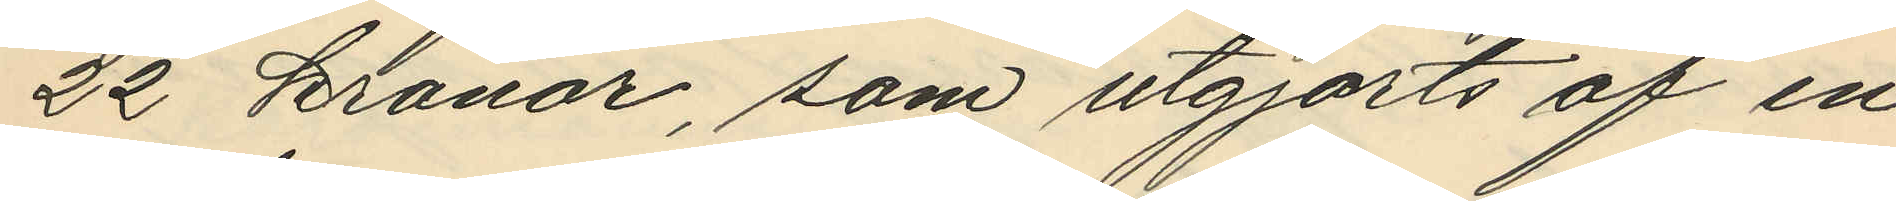22 kronor, som utgjorts af en
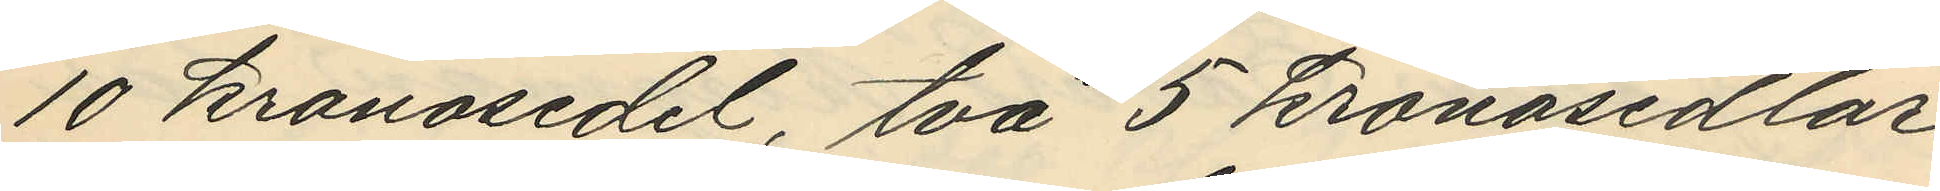10 kronosedel, två 5 kronosedlar
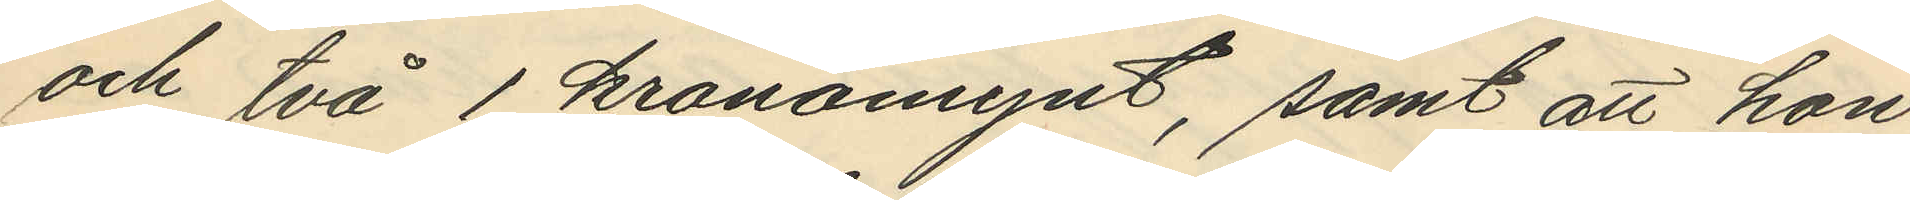och två 1 kronomynt, samt att hon
